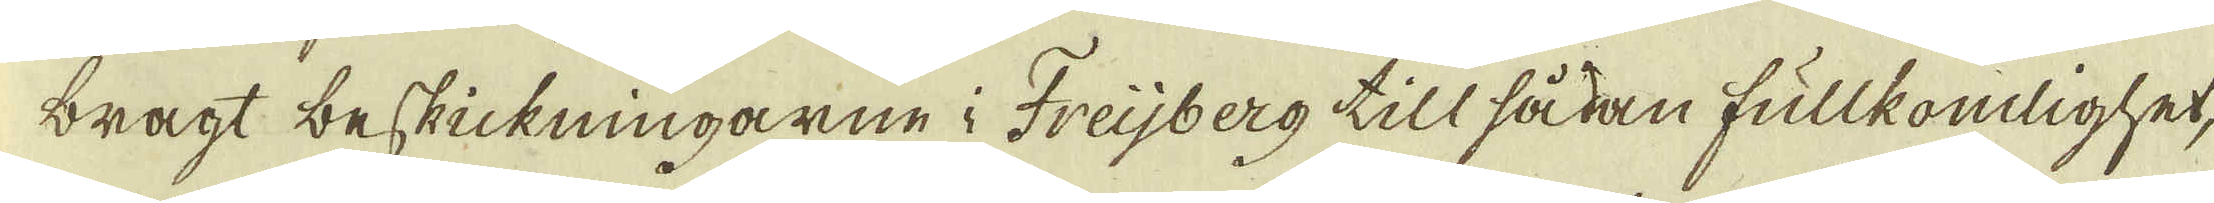bragt beskickningarne i Freijberg till sådan fullkomlighet,
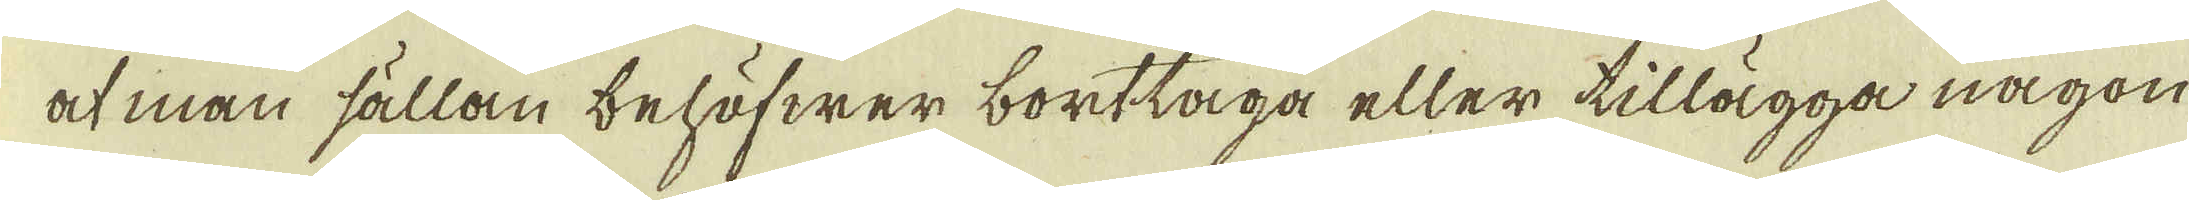at man sällan behöfwer borttaga eller tillägga någon
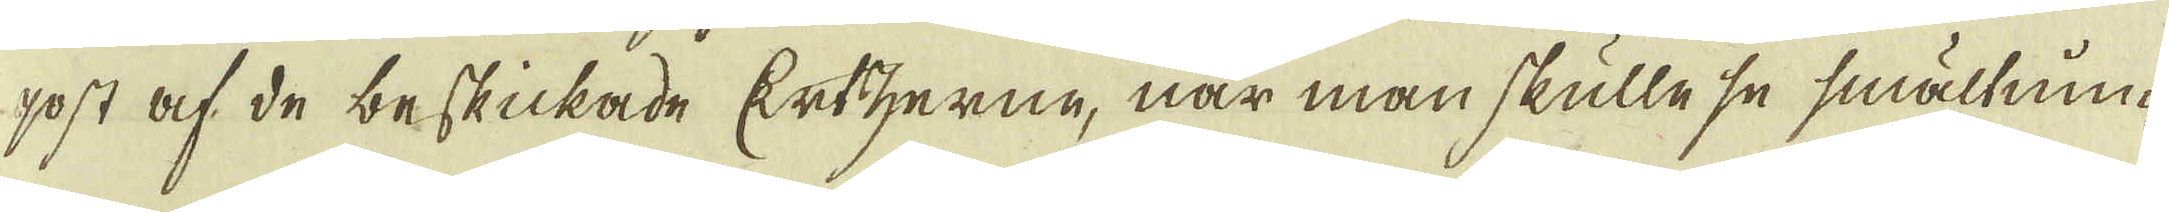post af de beskickade Ertzerne, när man skulle se smältnin-
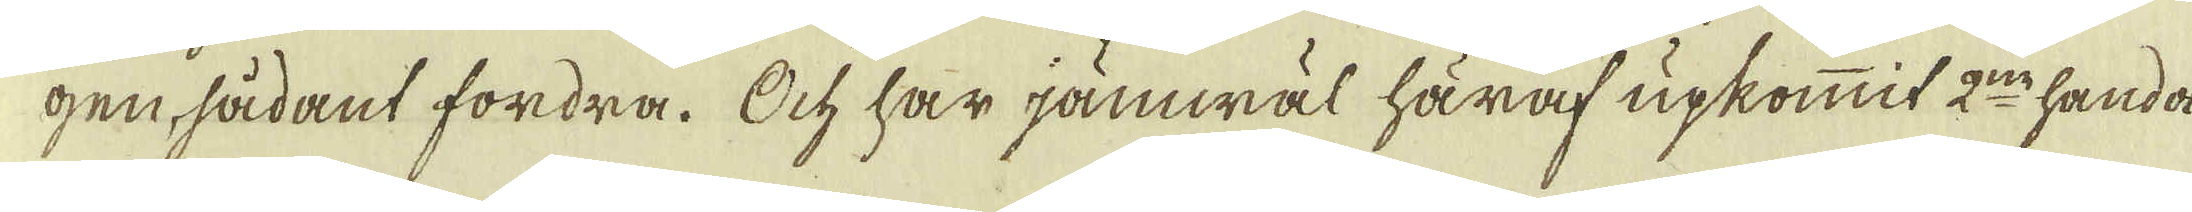gen, sådant fordra. Ock har jämwäl häraf upkommit 2:ne handa
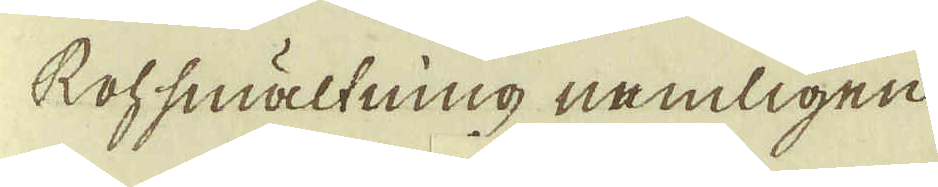Rohsmältning nemligen.
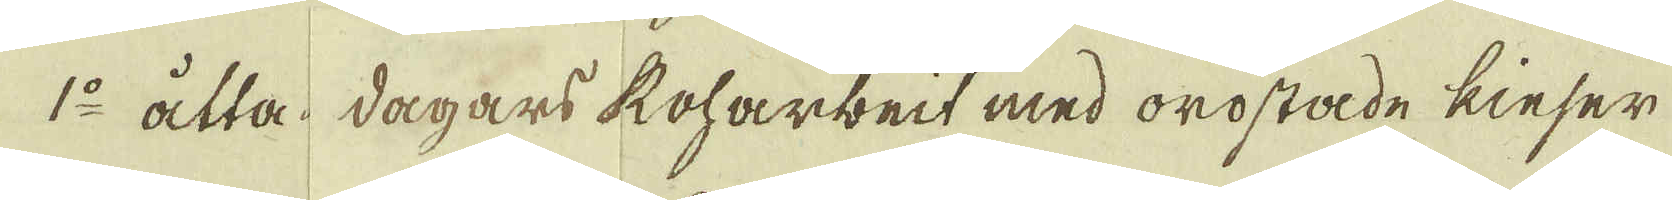1:o åtta dagars Roharbeit med orostade kieser
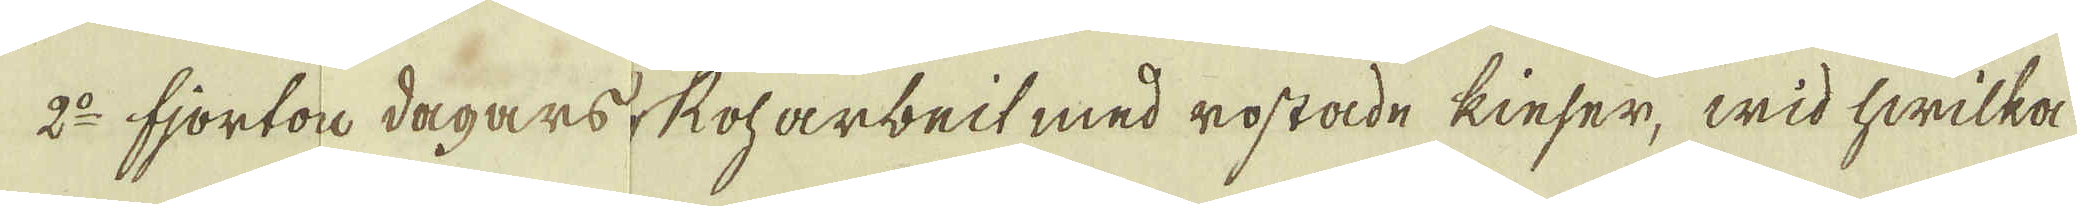2:o fjortor dagars Roharbeit med rostade kieser, wid hwilka
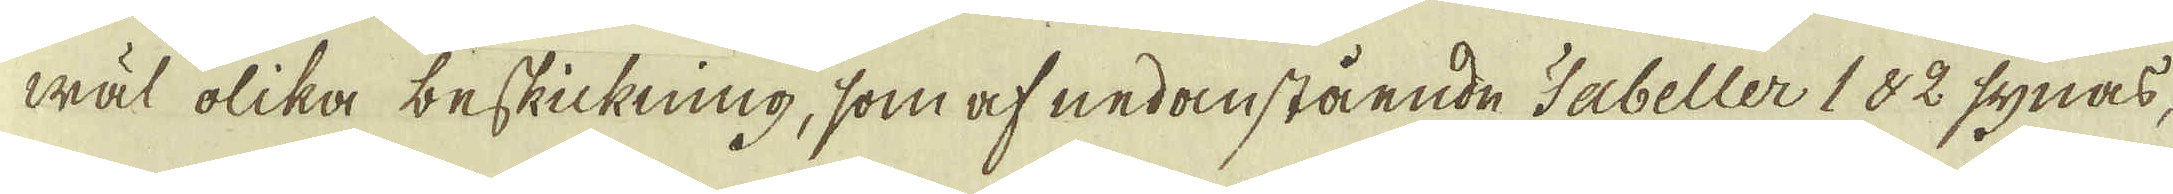wäl olika beskickning, som af nedanstående Tabeller 182 synas,
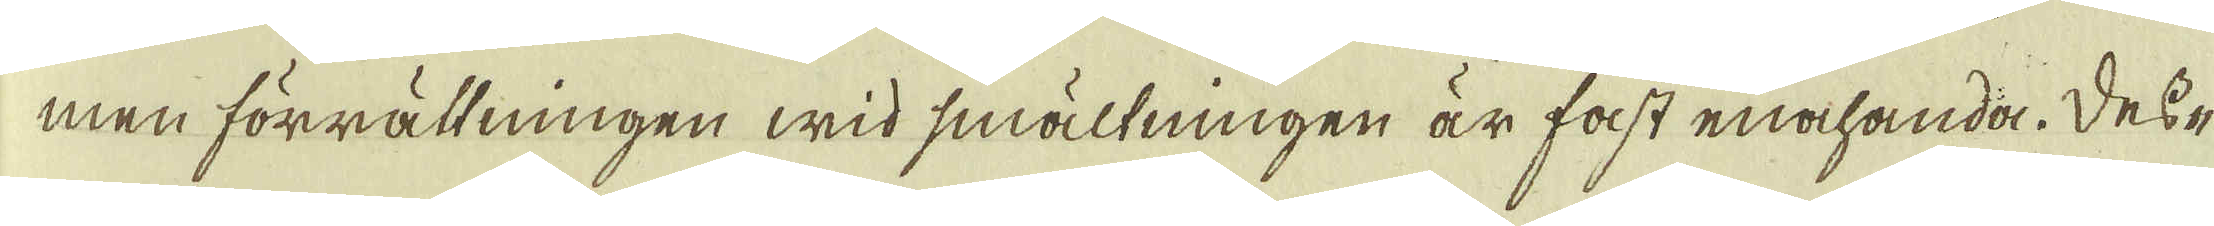men förrättningen wid smältningen är fast enahanda. Dess-
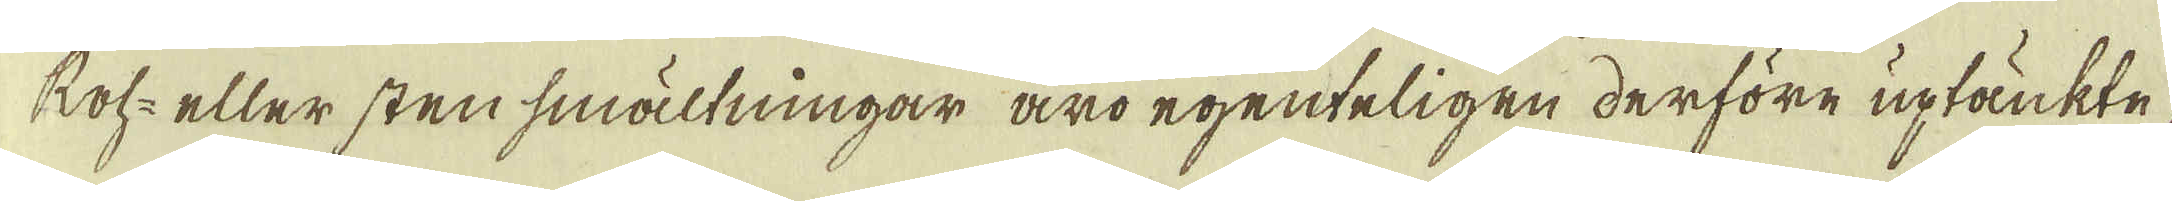Roh- eller stensmältningar äro egenteligen derföre uptänkte
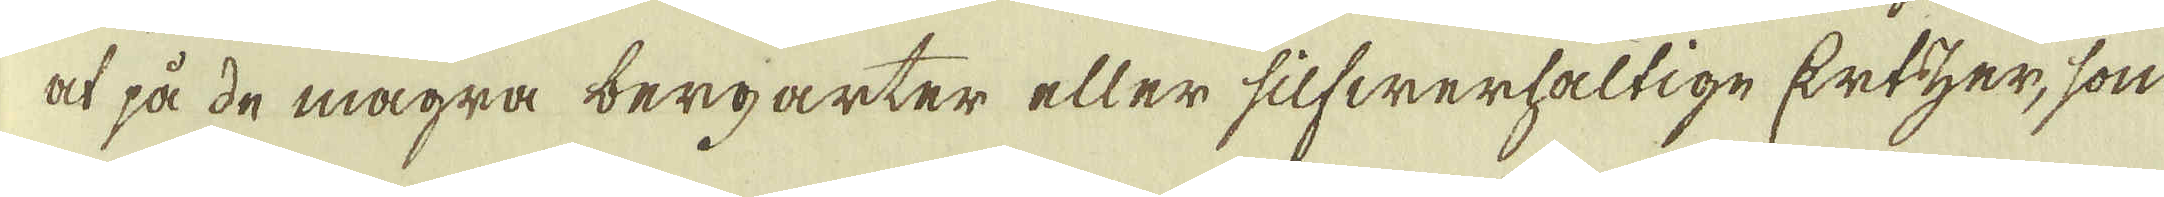at på de magra bergarter eller silfwerhaltige Ertzer, som
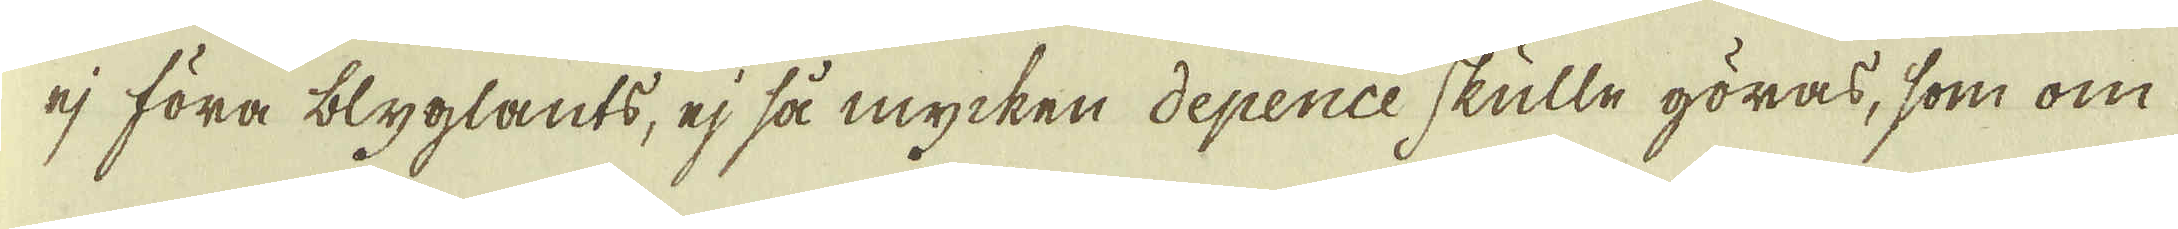ej föra blyglants, ej så mycken depence skulle göras, som om
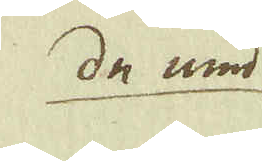de med
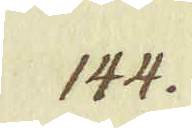144.
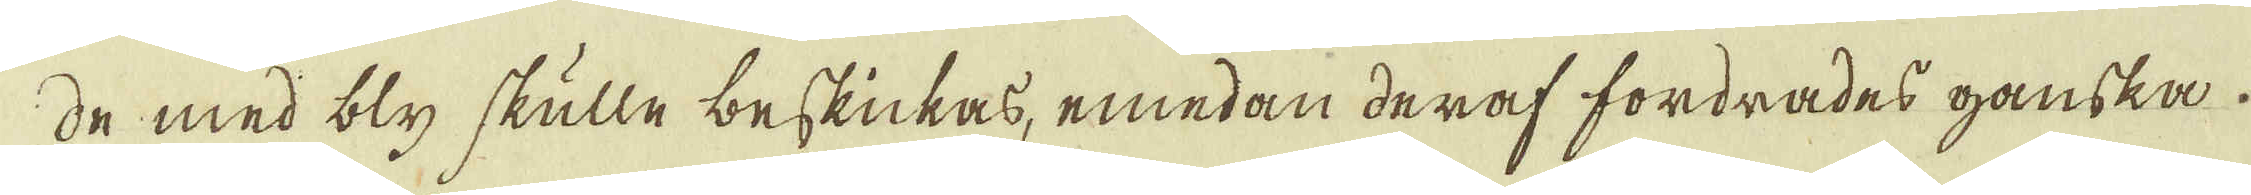de med bly skulle beskickas, emedan deraf fordrades ganska
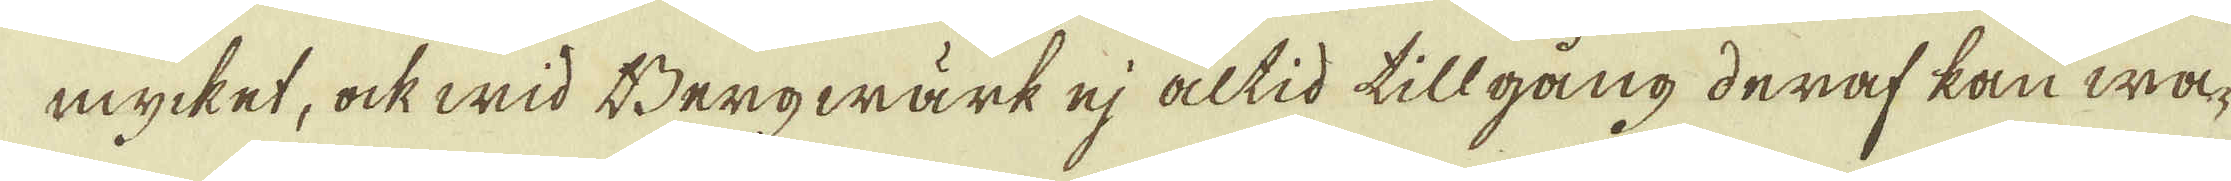mycket, ock wid Bergwärk ej altid tillgång deraf kan wa-
